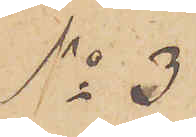No 3
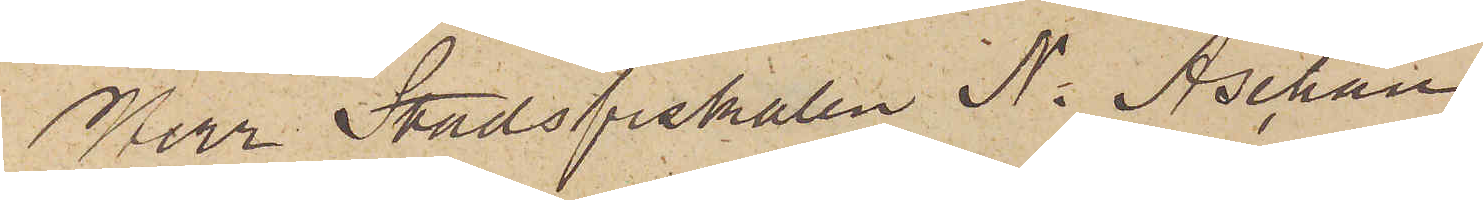Herr Stadsfiskalen N. Aschan
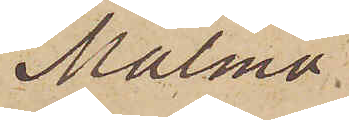Malmö
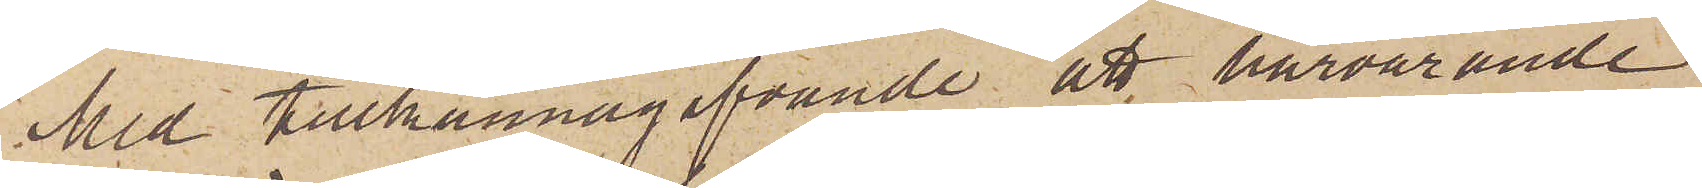Med tillkännagifvande att härvarande
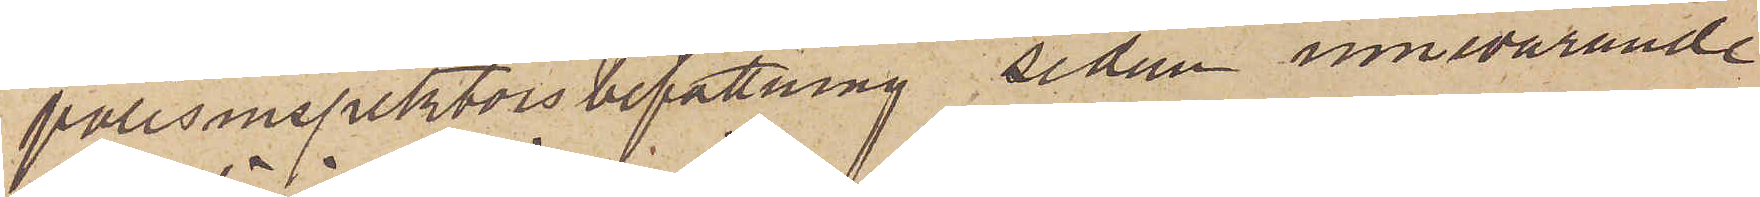polisinspektorsbefattning sedan innevarande
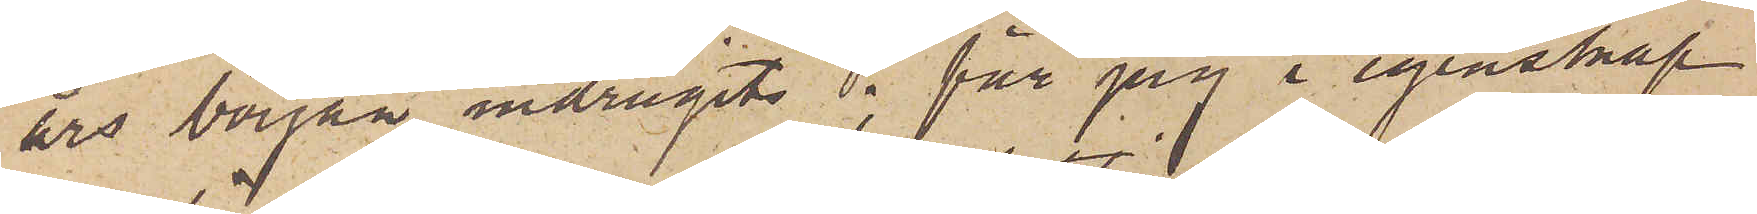års början indragits; får jag i egenskap
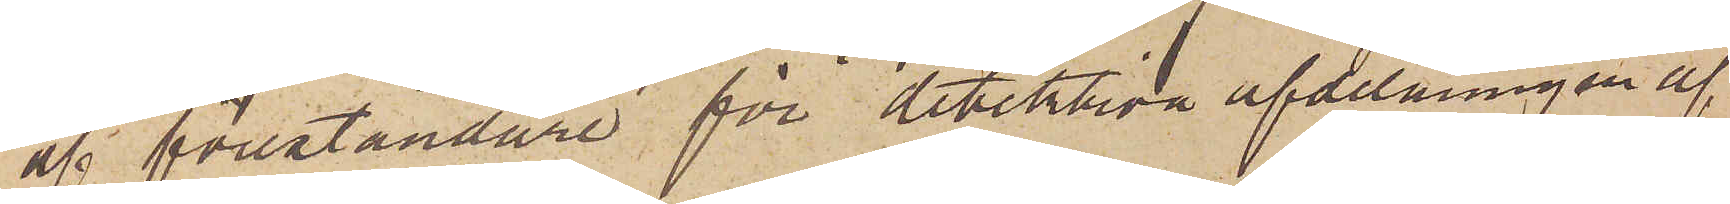af föreståndare för detektiva afdelningen af
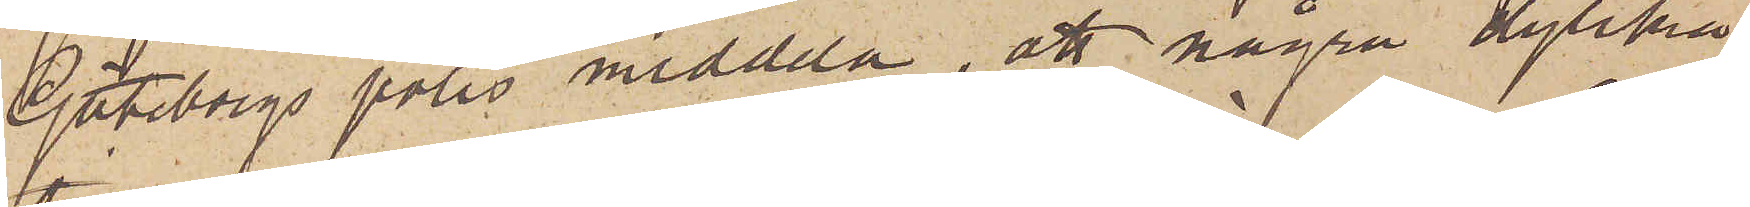Göteborgs polis meddela, att några dylikas
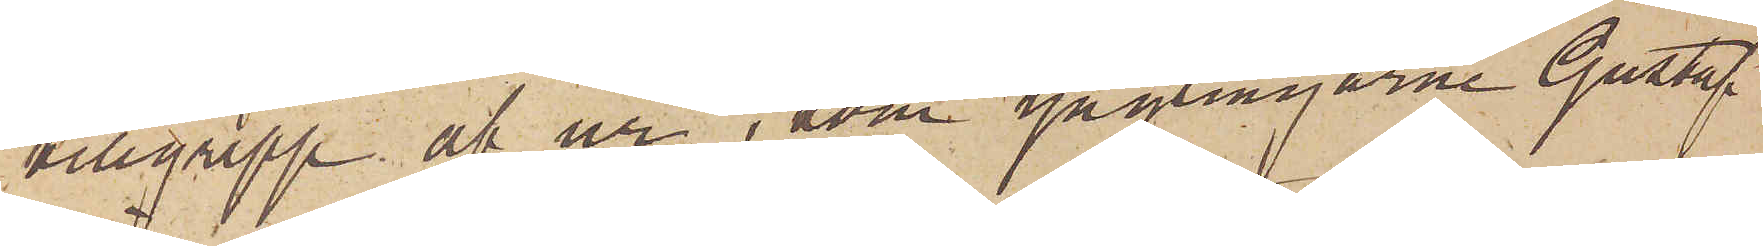tillgrepp af ur, som ynglingarne Gustaf
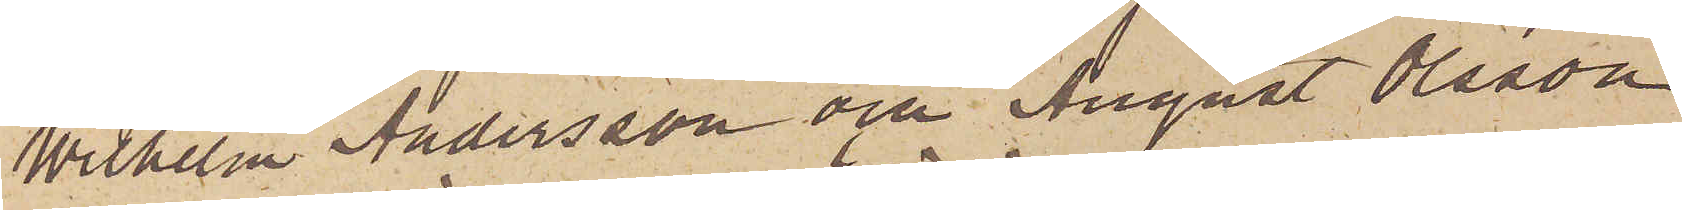Wilhelm Andersson och August Olsson
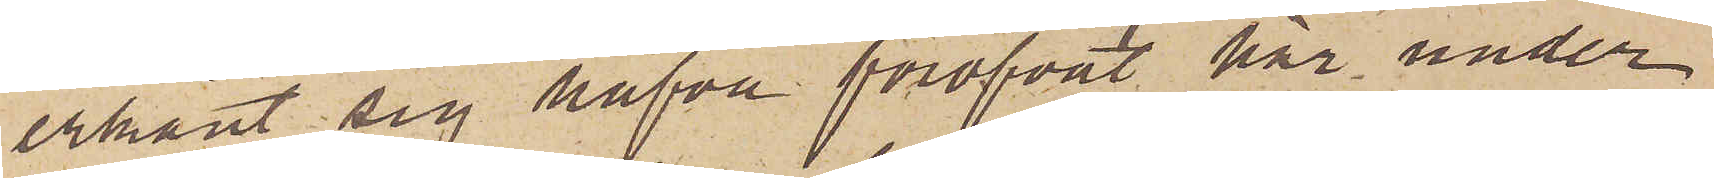erkänt sig hafva föröfvat här under
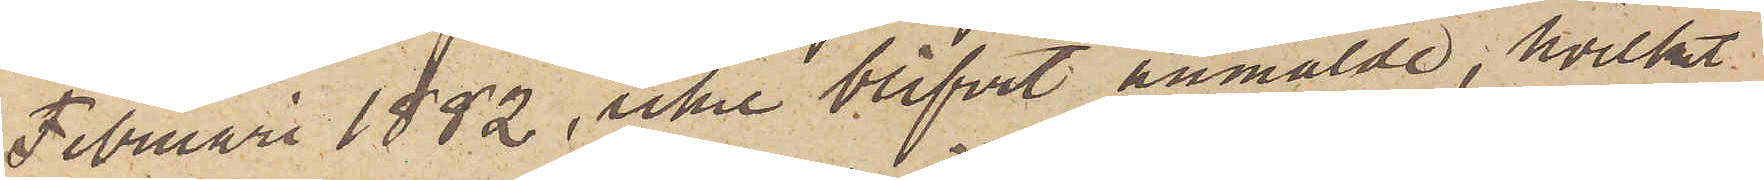Februari 1882, icke blifvit anmälde, hvilket
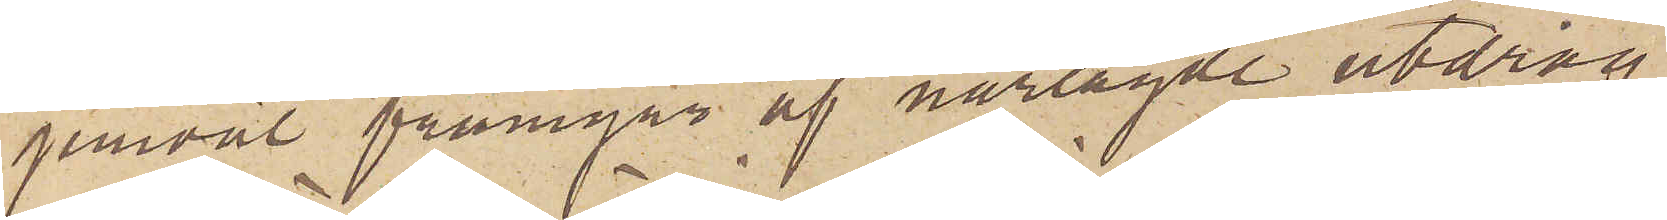jemväl framgår af närlagde utdrag
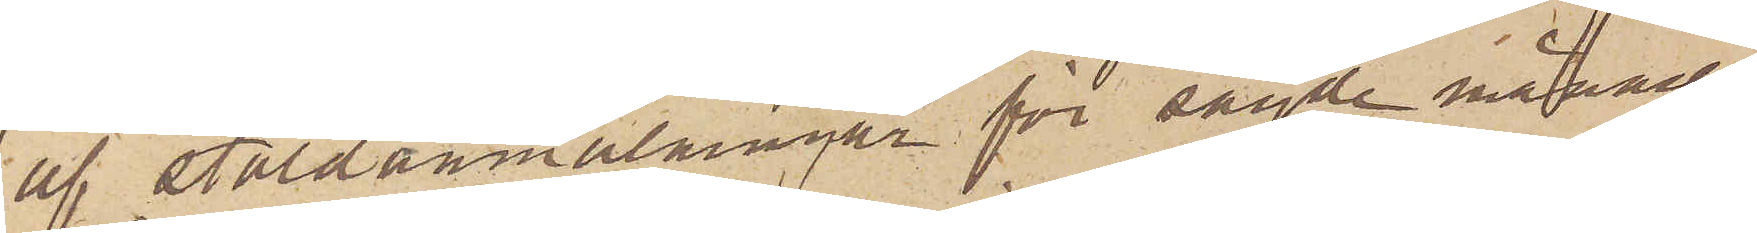af stöldanmälningar för sagde månad.
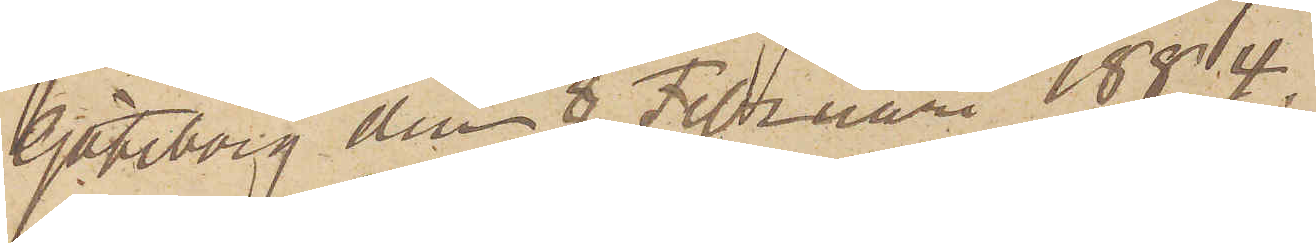Göteborg den 8 Februari 1884.
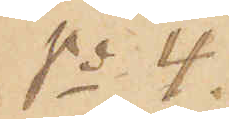No 4.
